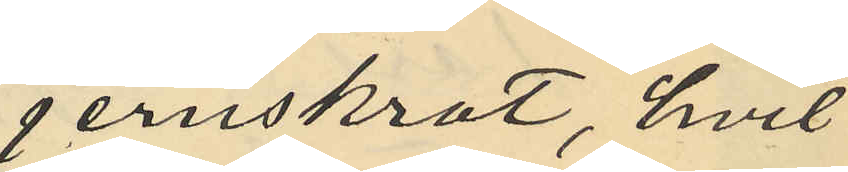jernskrot, hvil¬
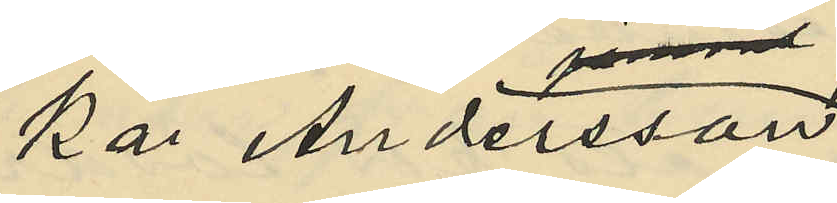ka Andersson
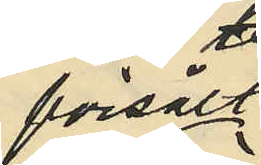försålt
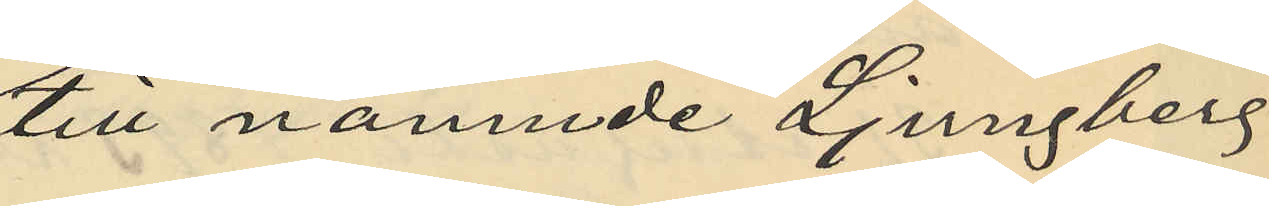till nämnde Ljungberg
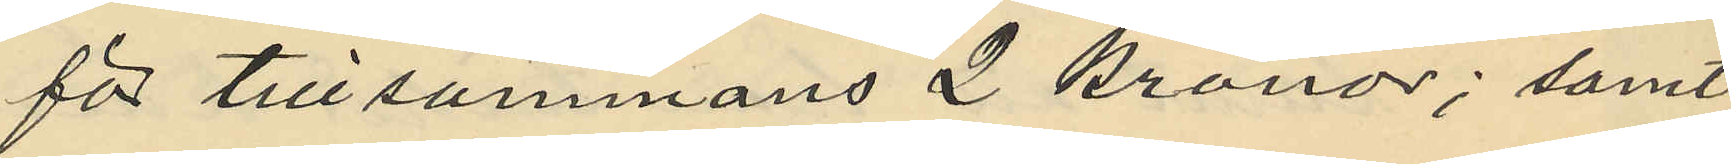för tillsammans 2 kronor; samt
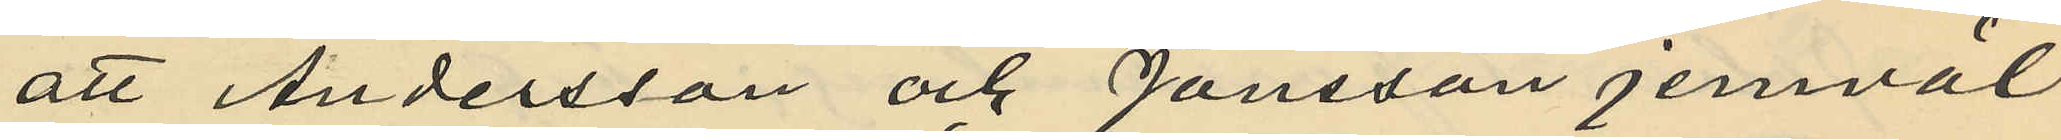att Andersson och Jansson jemväl
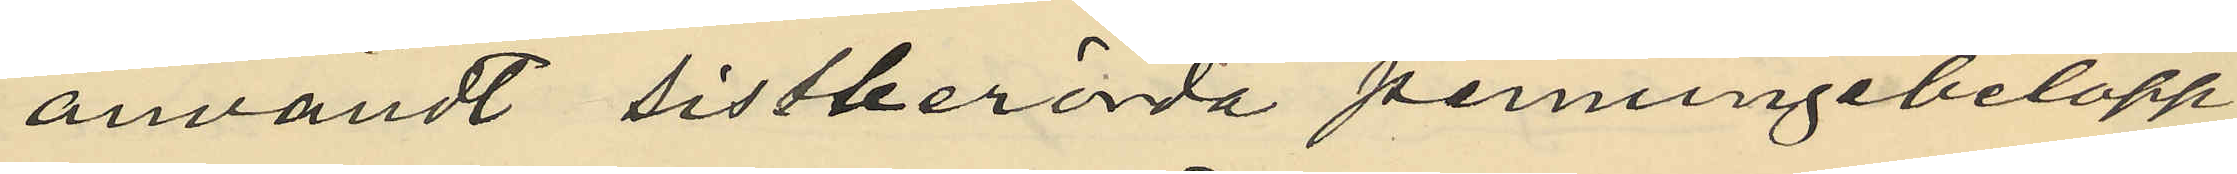användt sistberörda penningebelopp
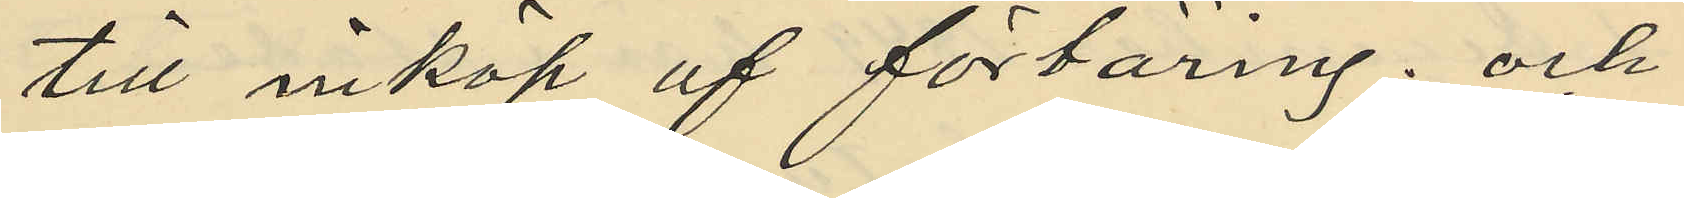till inköp af förtäring; och
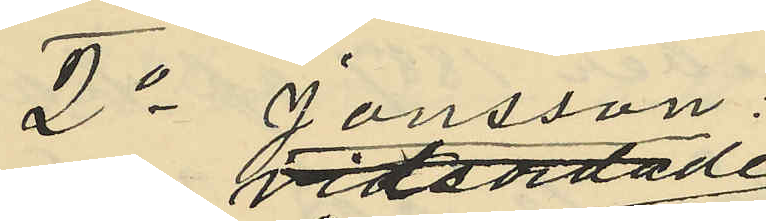2o Jonsson:
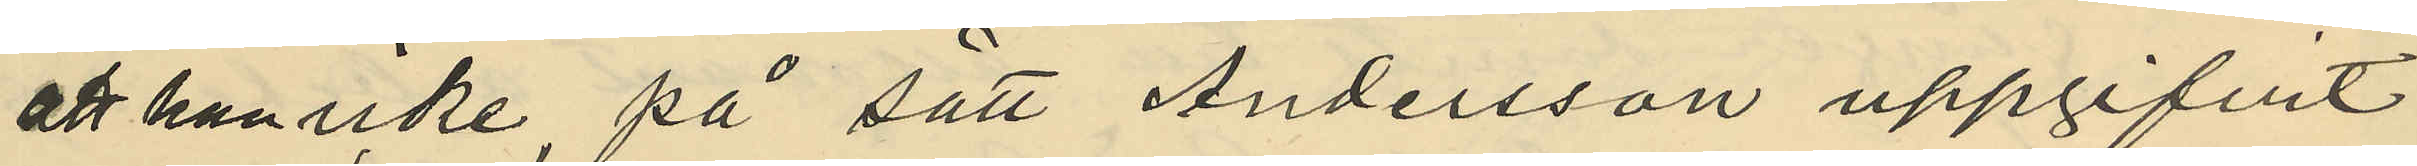att han icke, på sätt Andersson uppgifvit
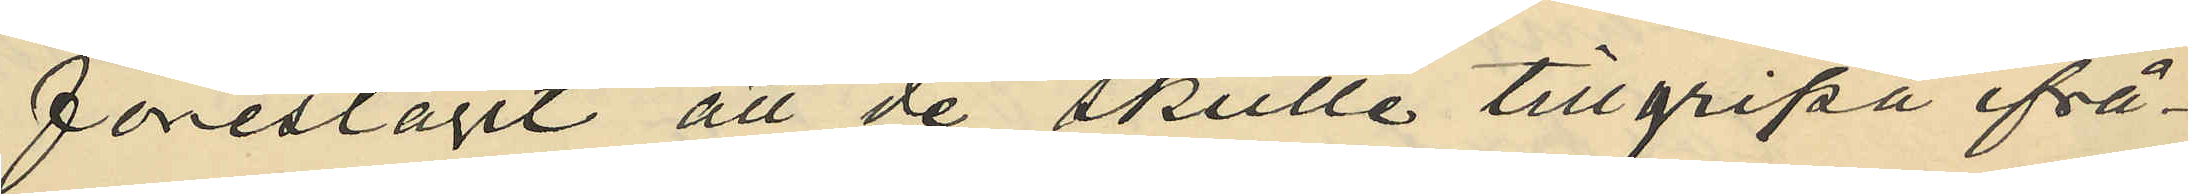föreslagit att de skulle tillgripa ifrå¬
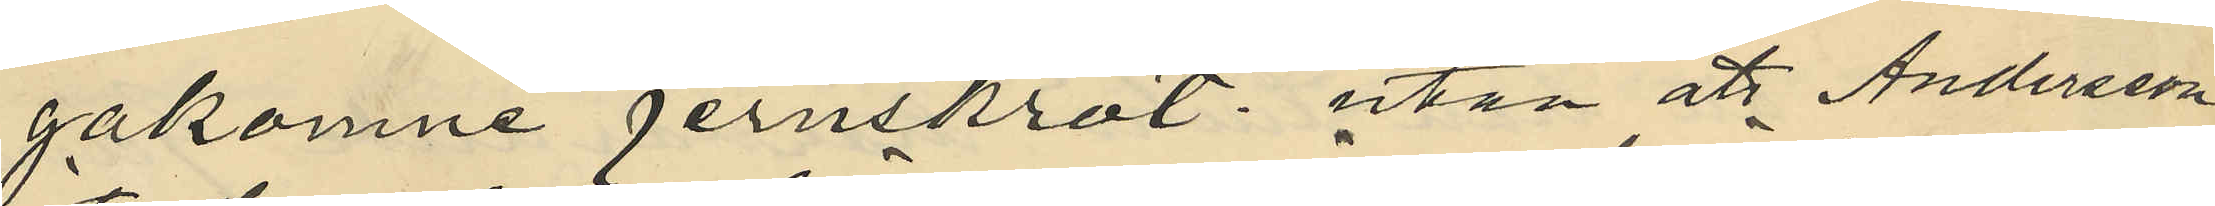gakomne jernskrot; utan att Andersson
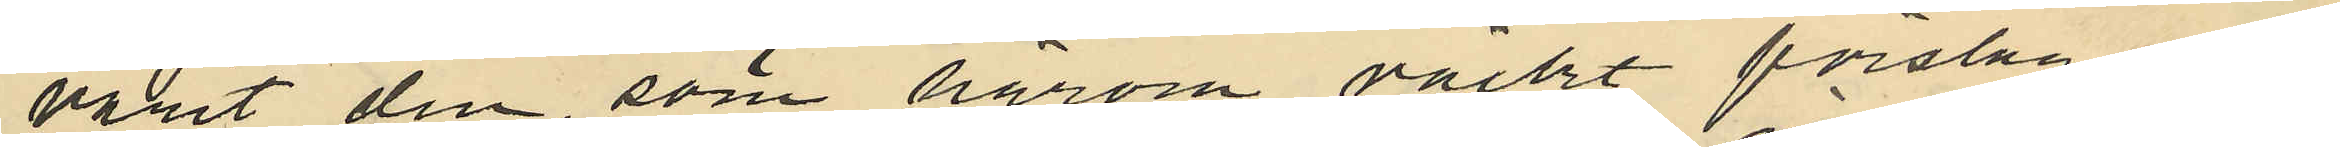varit den, som härom väckt förslag,
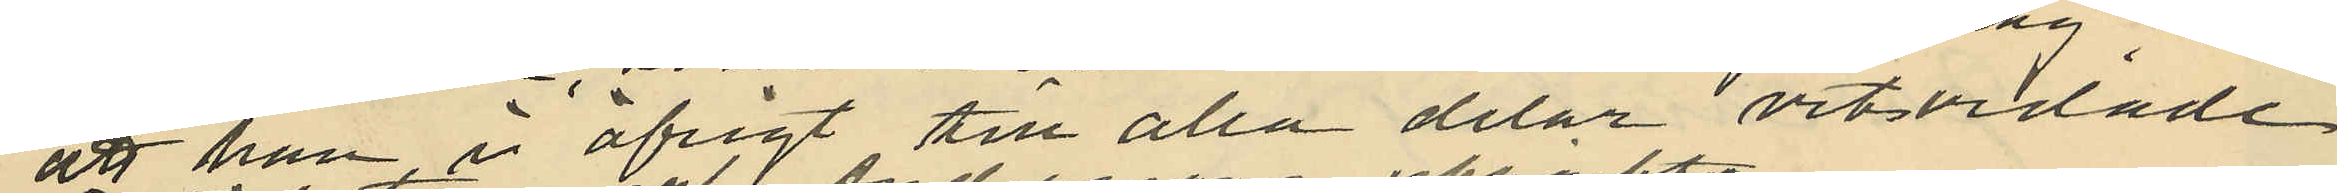att han i öfrigt till alla delar vitsordade
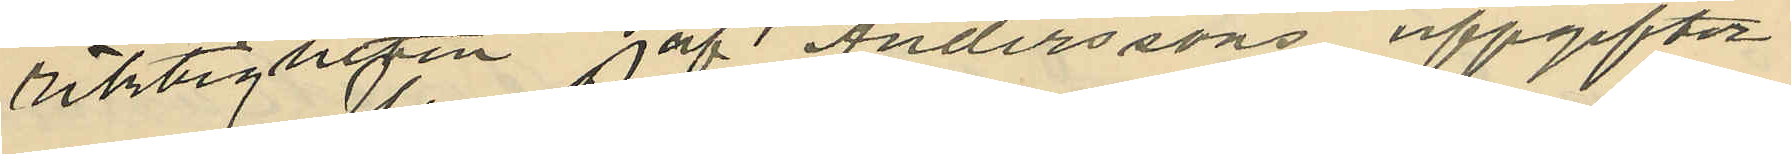riktigheten af Anderssons uppgifter
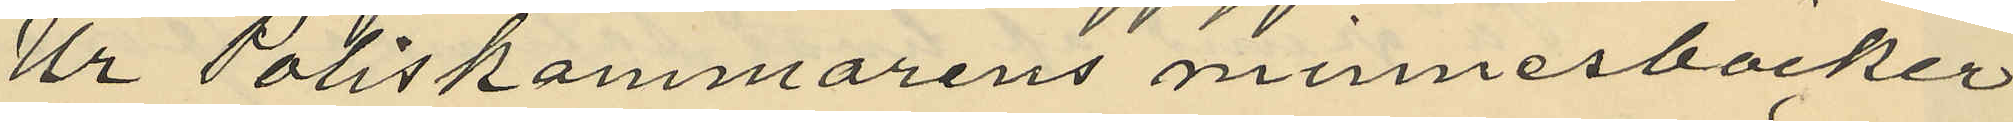Ur Poliskammarens minnesböcker
